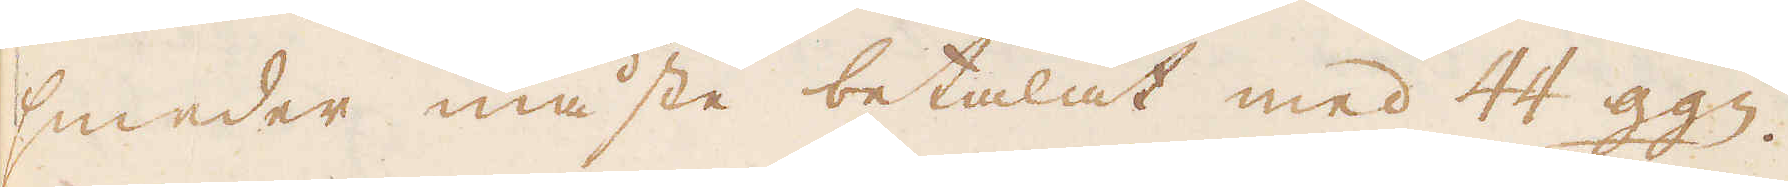smeder måste betalat med 44 ggn.
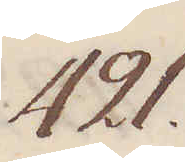421.
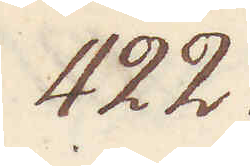422.
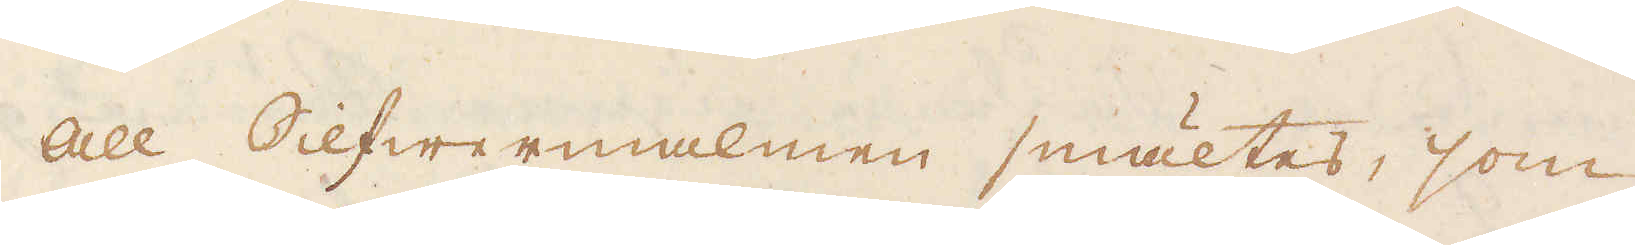All Silfwermalmen smältes, som
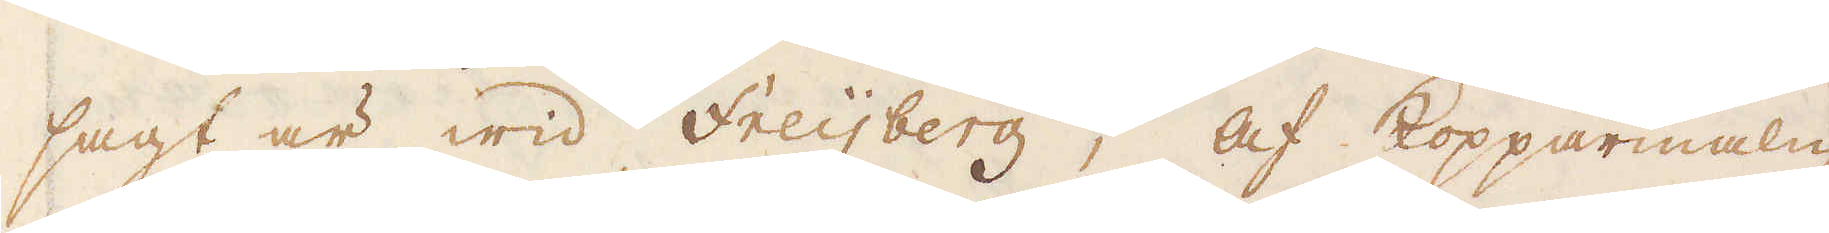sagt är wid Freijberg; Af Kopparmalm
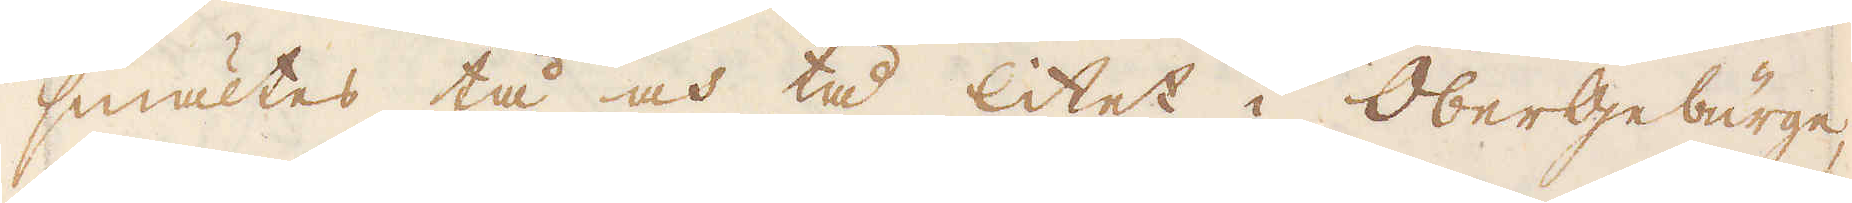smältes tå och tå litet i Obergebürge,
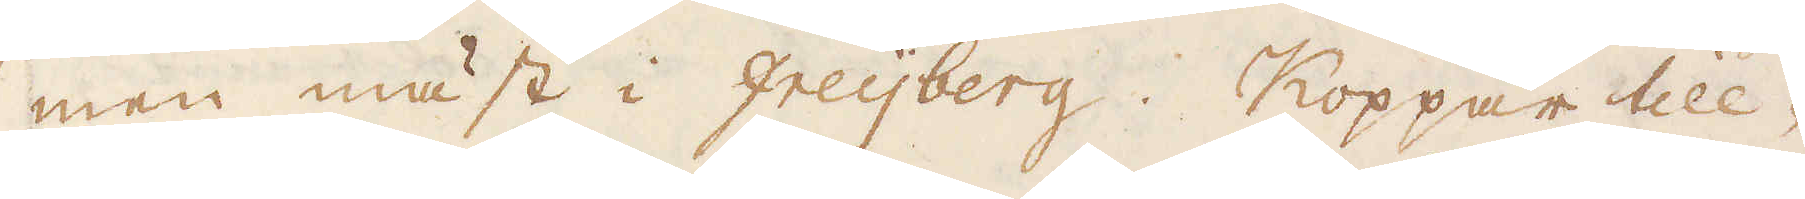men mäst i Freijberg. Koppar till-
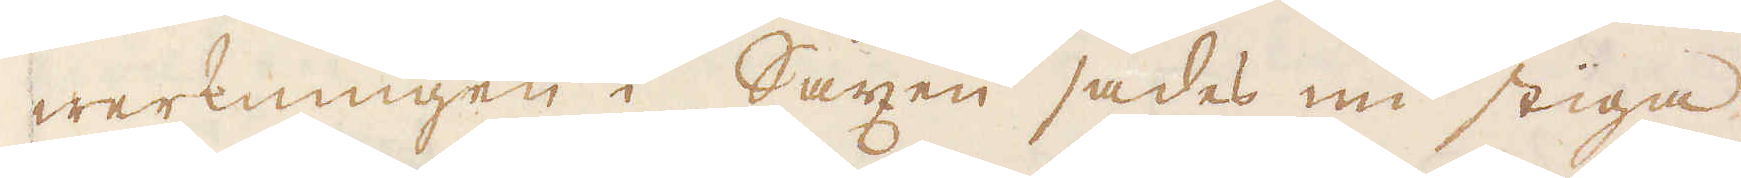werkningen i Saxen sades nu stiga
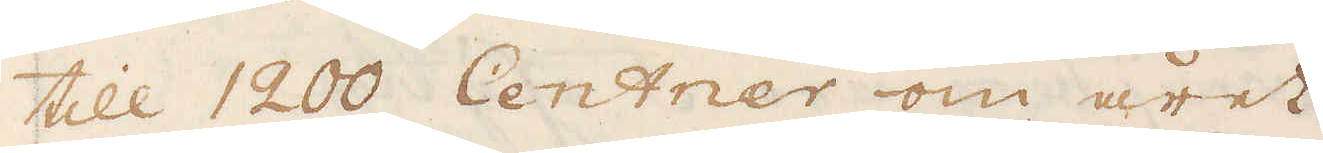till 1200 Centner om året.
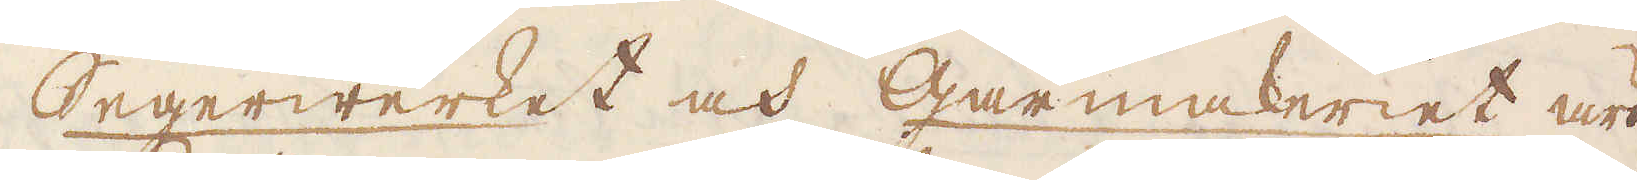Segerwerket och Gårmakeriet äro
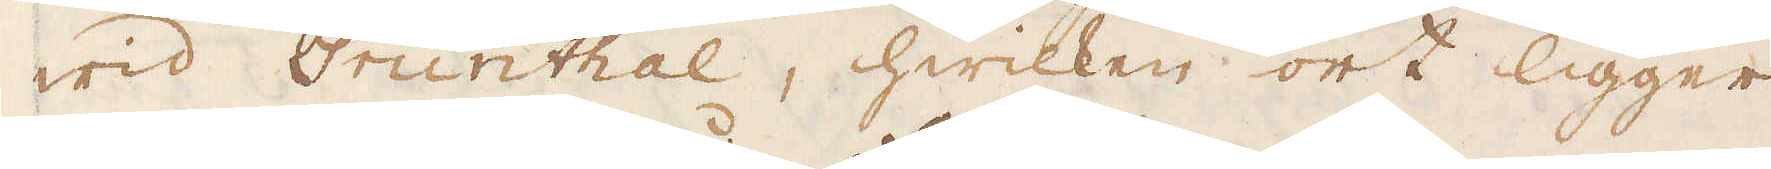wid Grünthal, hwilken ort ligger
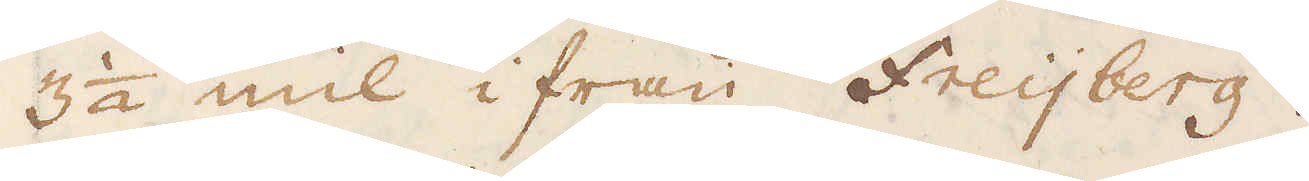3 1/2 mil ifrån Freijberg.
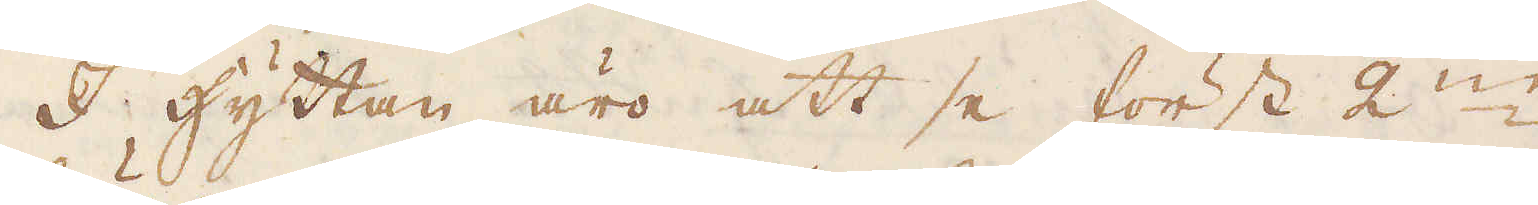I hyttan äro att se först 2:ne
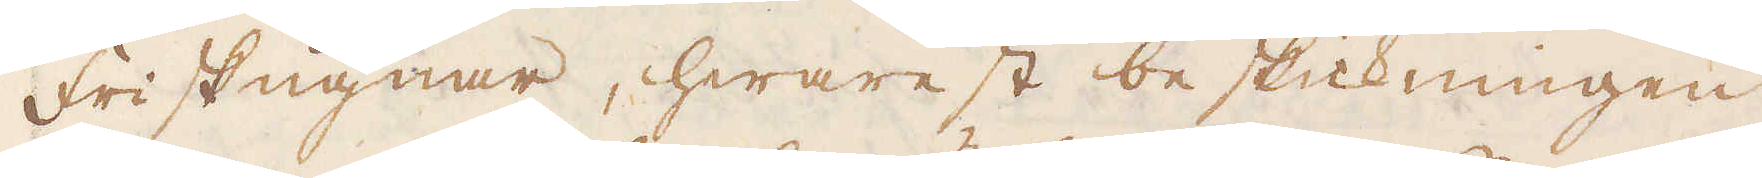Friskugnar, hwarest beskickningen
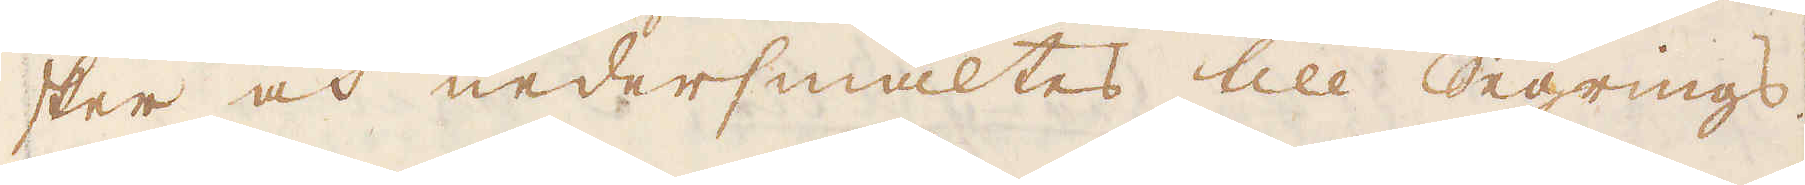sker och nedersmältes till Segrings.
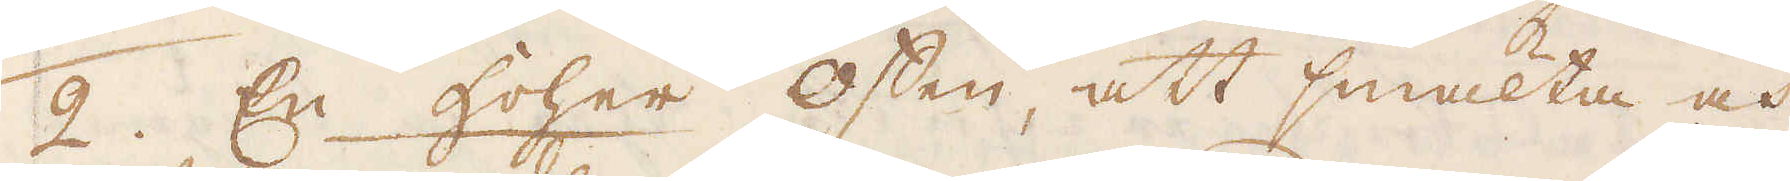2. En hoher offen, att smälta och
